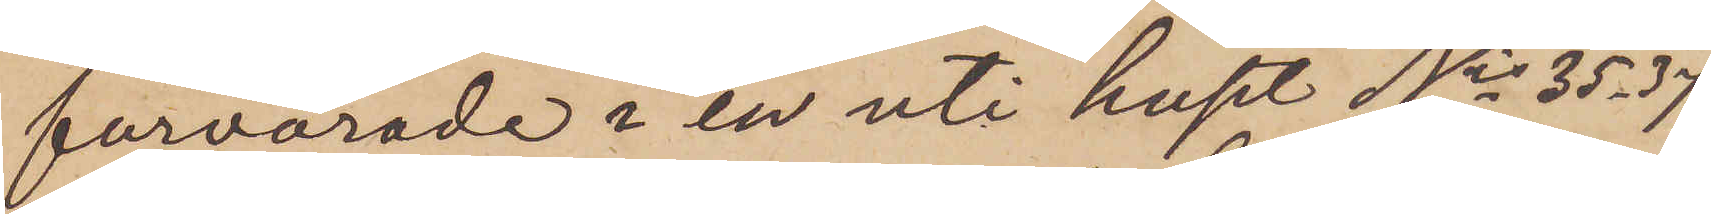förvarade i en uti huset Nis 35-37
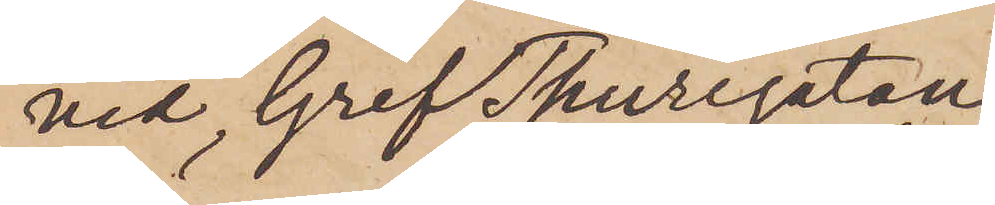vid Gref Thuregatan
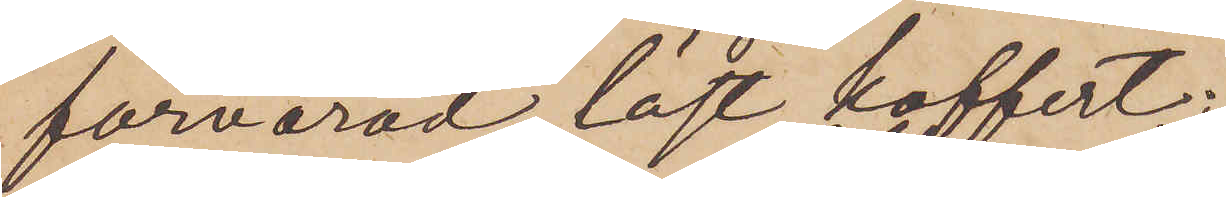förvarad låst koffert,
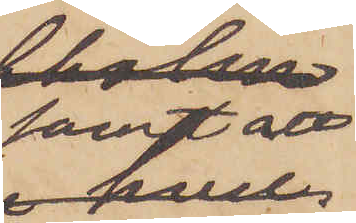samt att
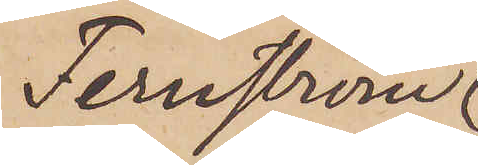Fernström
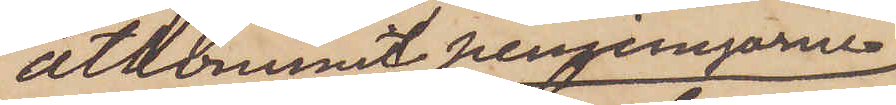åtkommit penningarne
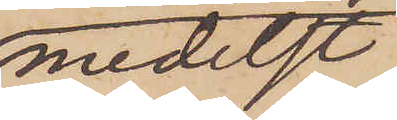medelst
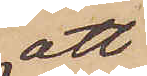att
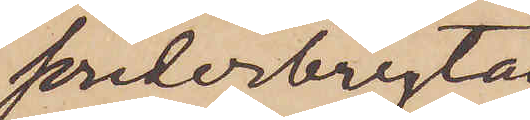sönderbryta
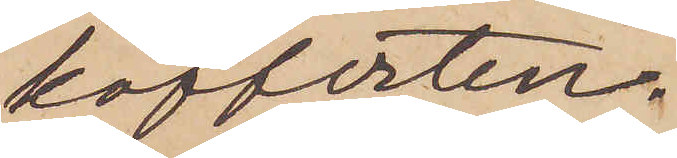kofferten.
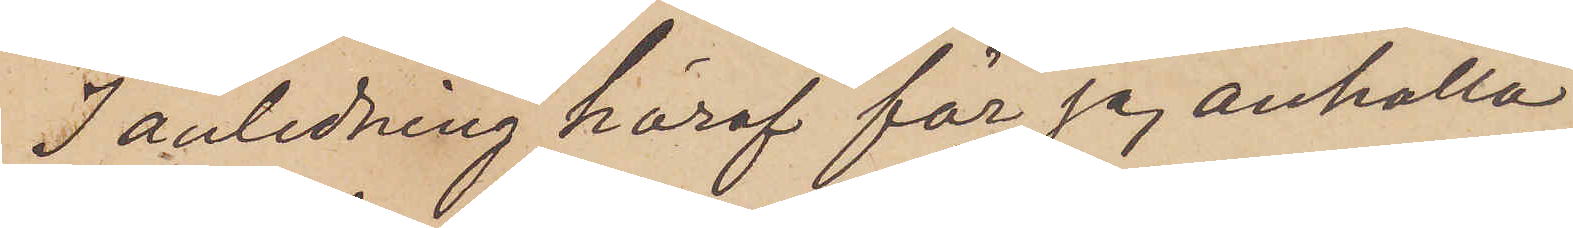I anledning häraf får jag anhålla
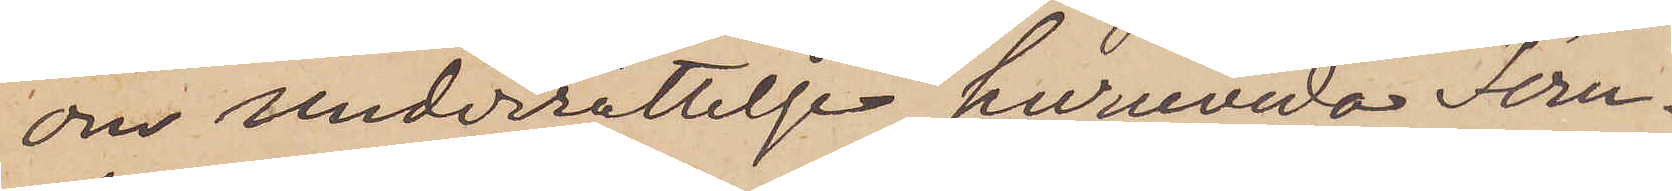om underrättelse, huruvida Fern¬
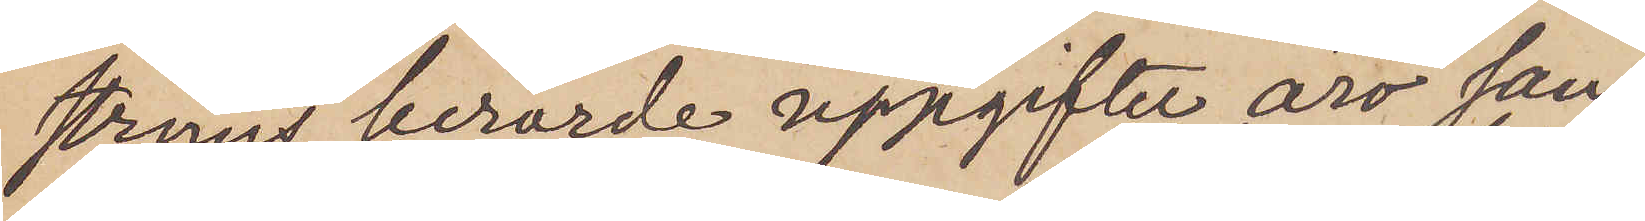ströms berörde uppgifter äro san¬
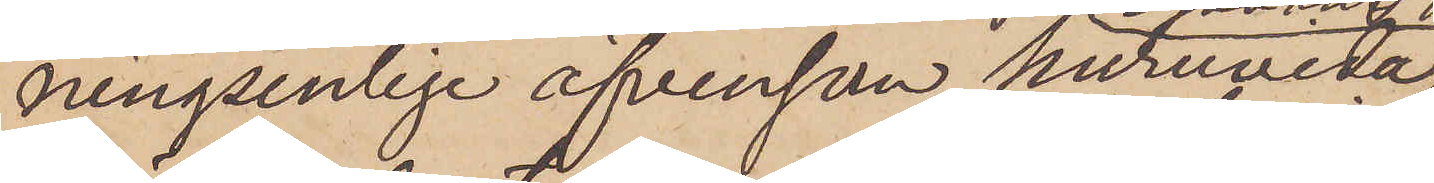ningsenlige äfvensom huruvida
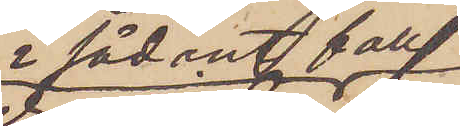i sådant fall
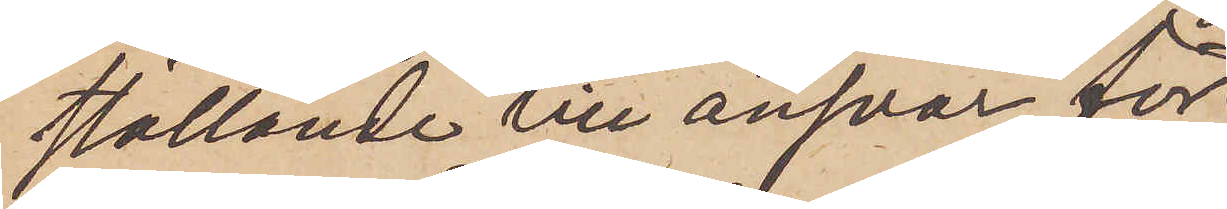ställande till ansvar för
